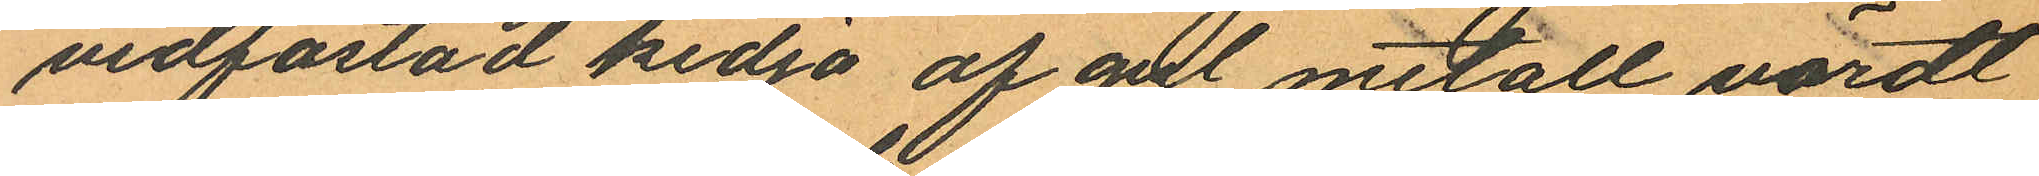vidfästad kedja af gul metall, värdt
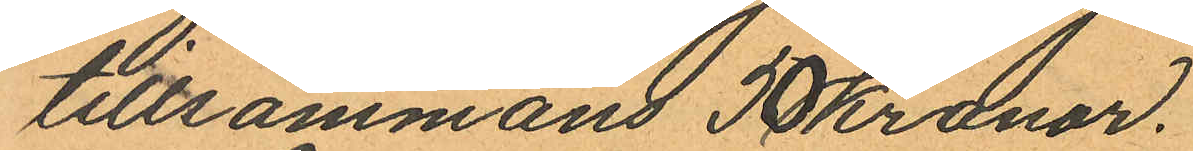tillsammans 50 Kronor.
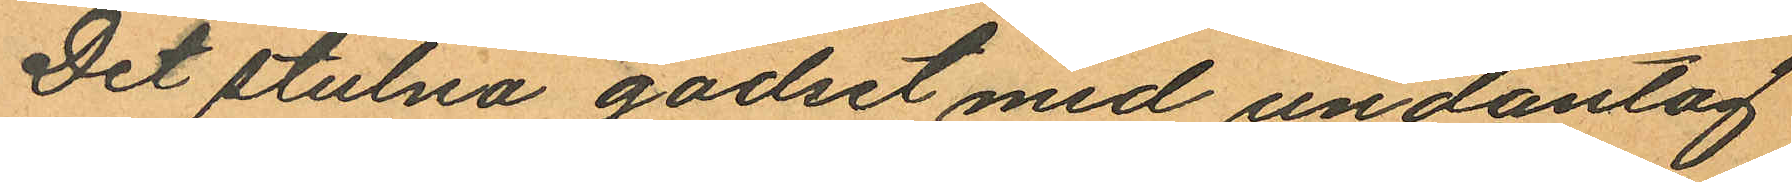Det stulna godset med undantag
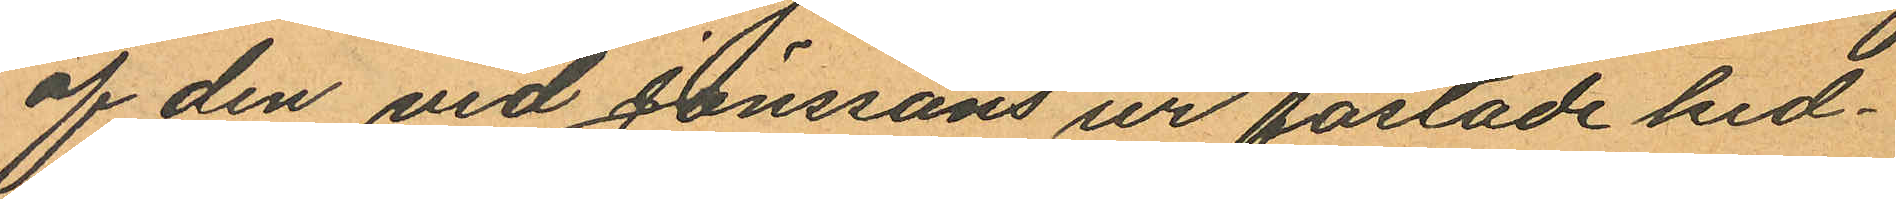af den vid Jönssons ur fästade ked¬
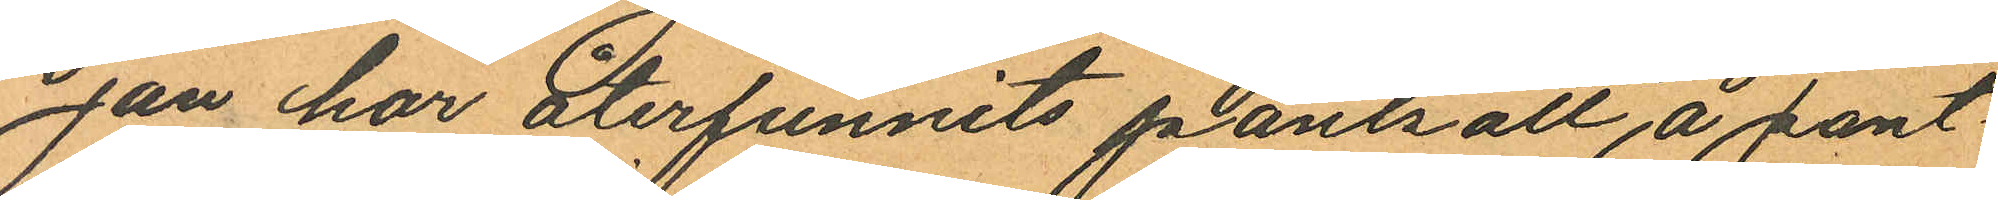jan har återfunnits pantsatt, å pant
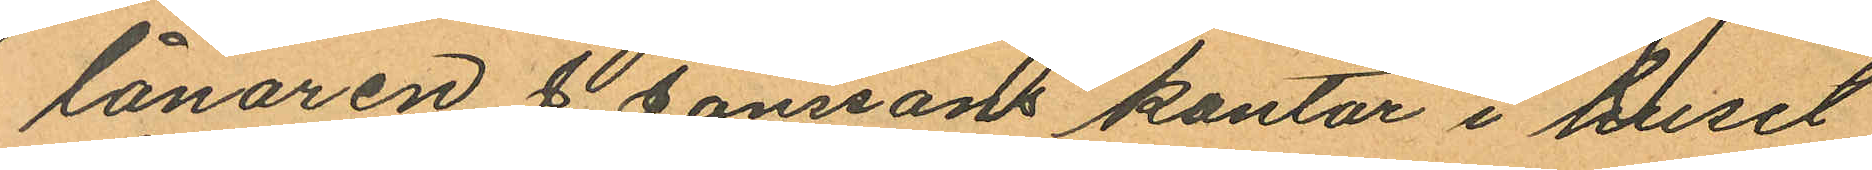lånaren J. Jonssons kontor i huset
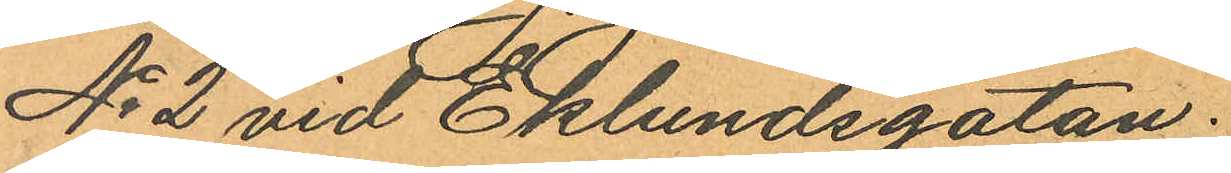No 2 vid Eklundsgatan.
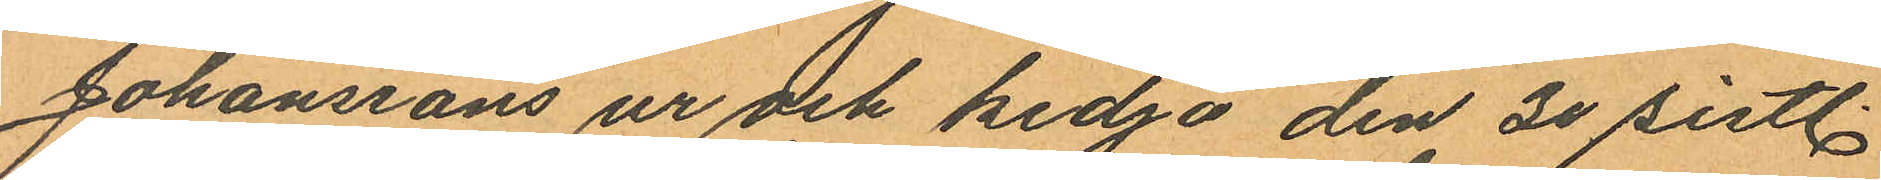Johanssons ur och kedja den 30 sistl.
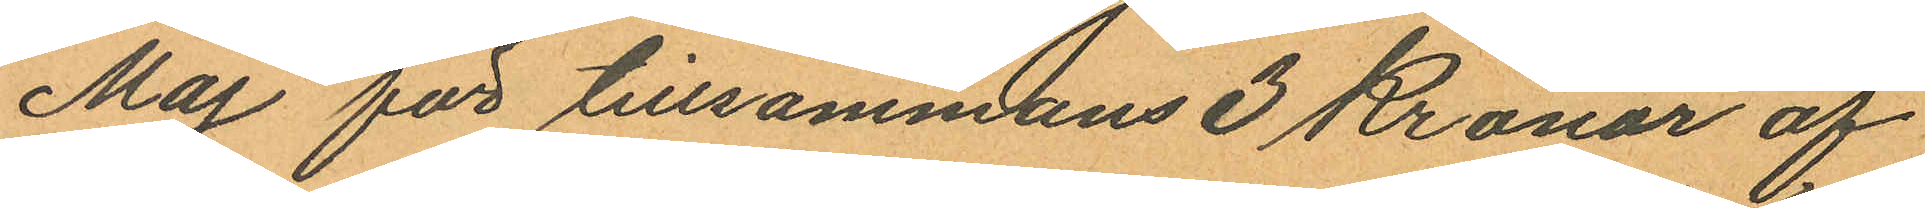Maj för tillsammans 3 Kronor af
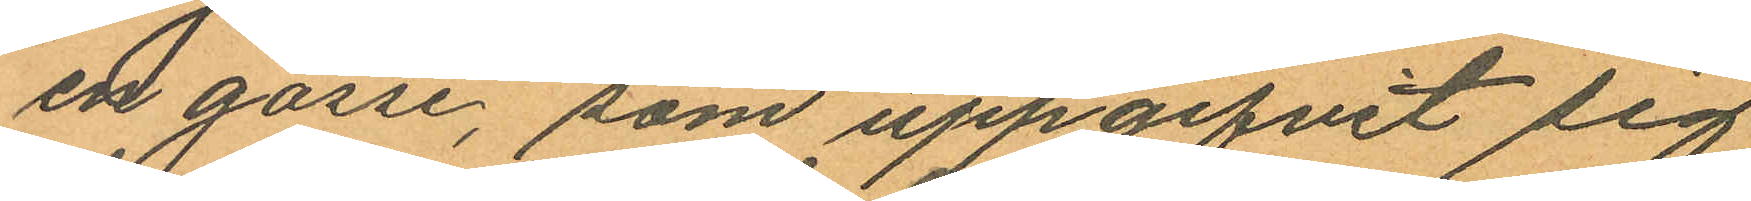en gosse, som uppgifvit sig
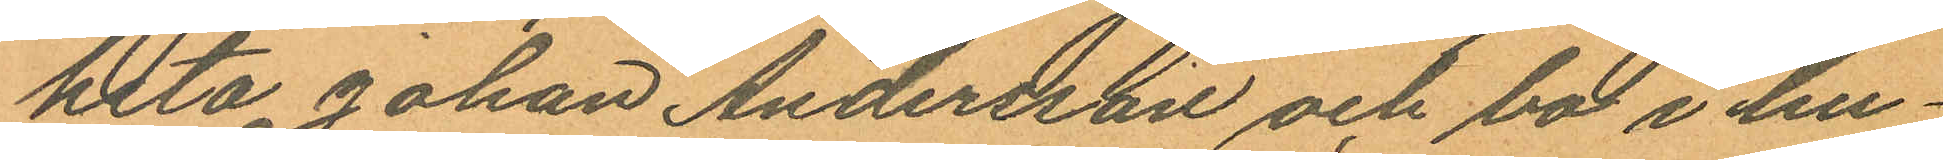heta Johan Andersson och bo i hu¬
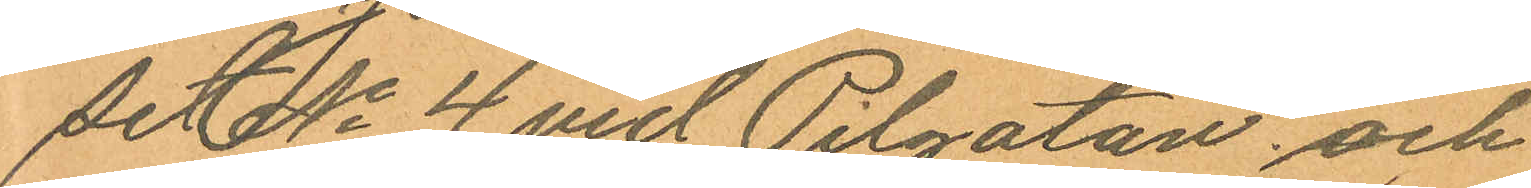set No 4 vid Pilgatan, och
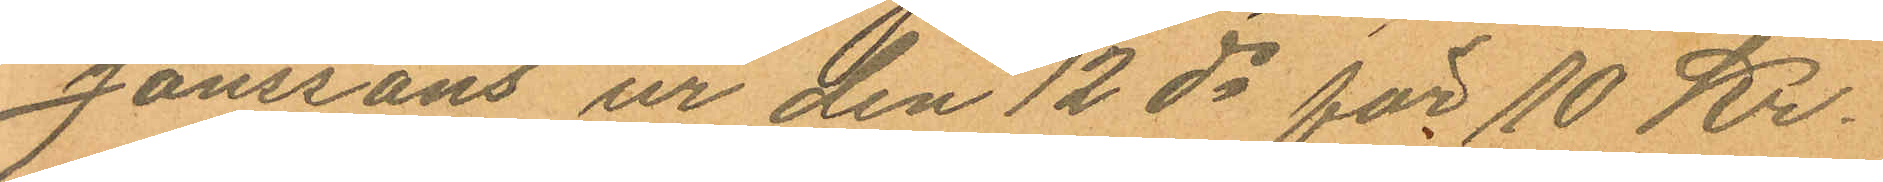Jönssons ur den 12 ds för 10 Kr.
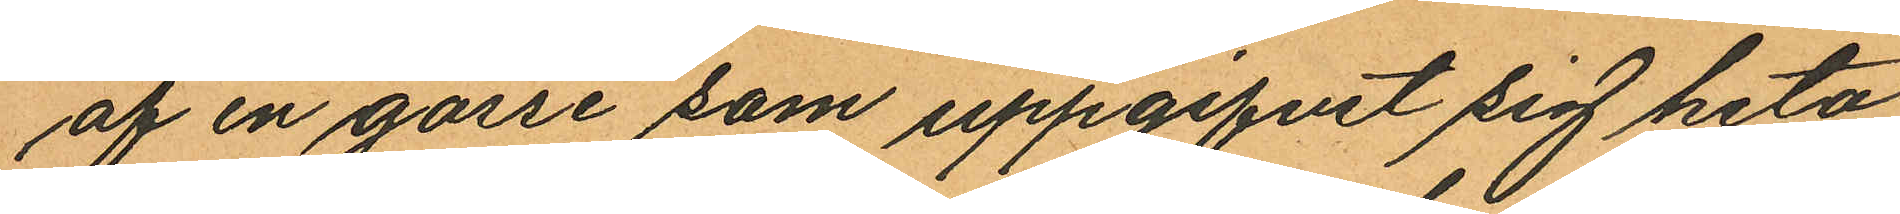af en gosse som uppgifvit sig heta
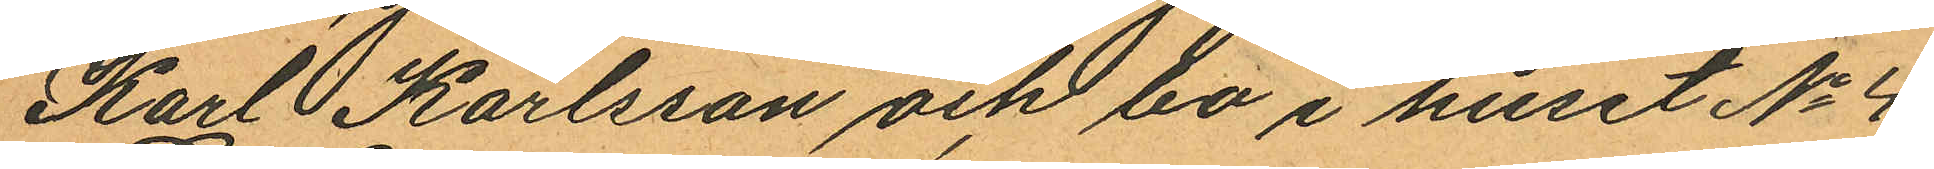Karl Karlsson och bo i huset No 4
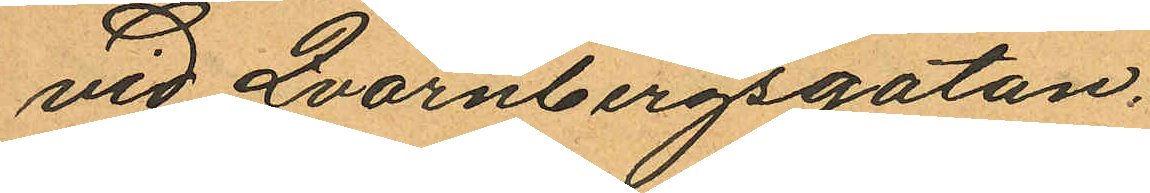vid Qvarnbergsgatan.
